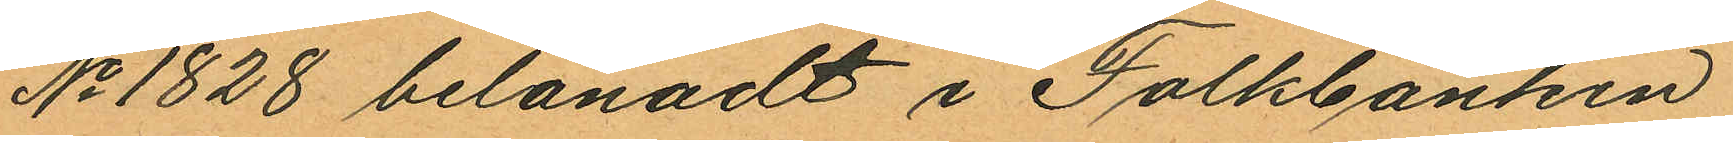No 1828 belånadt i Folkbanken
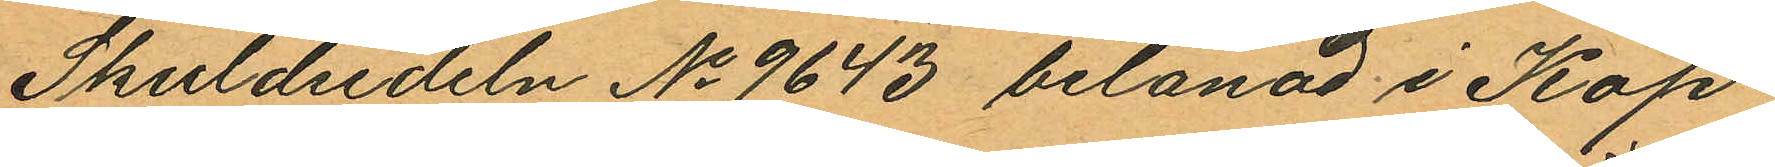Skuldsedeln No 9643 belånad i Köp¬
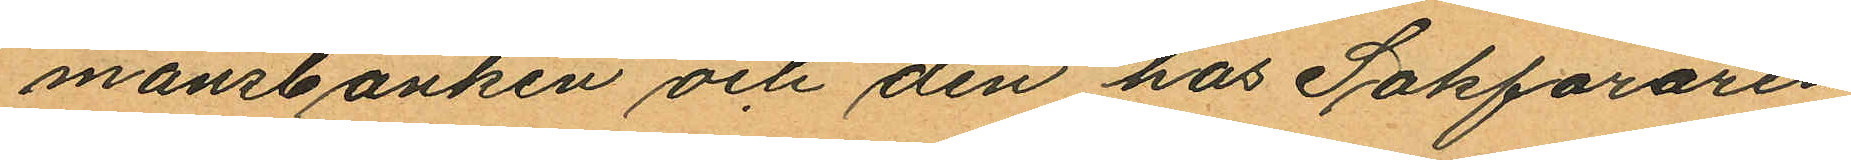mansbanken och den hos Sakföraren
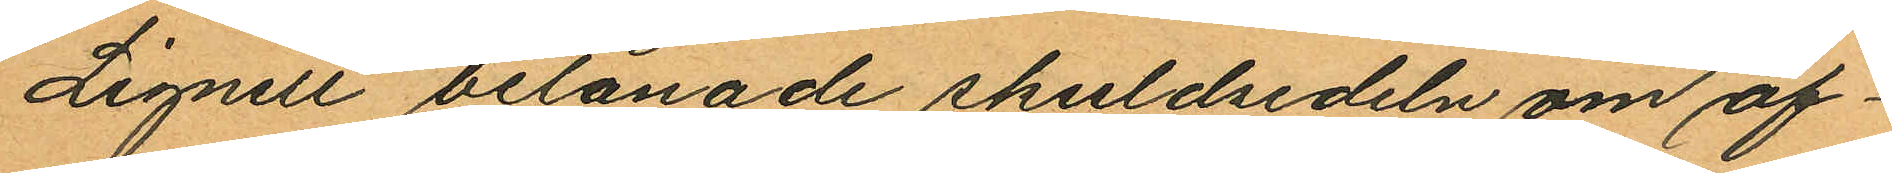Lignell belånade skuldsedeln om af¬
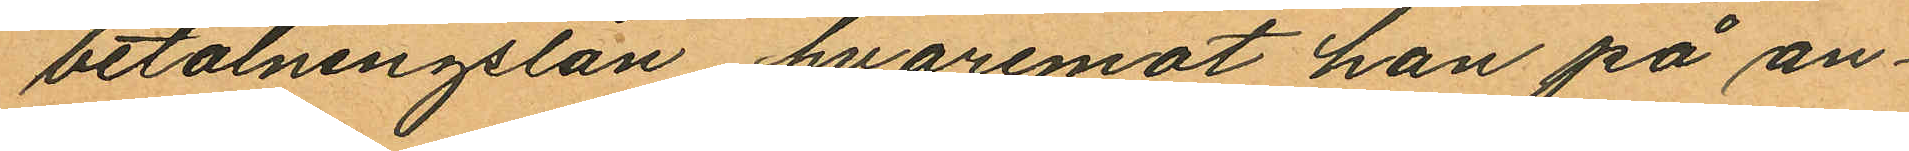betalningslån, hvaremot han på an¬
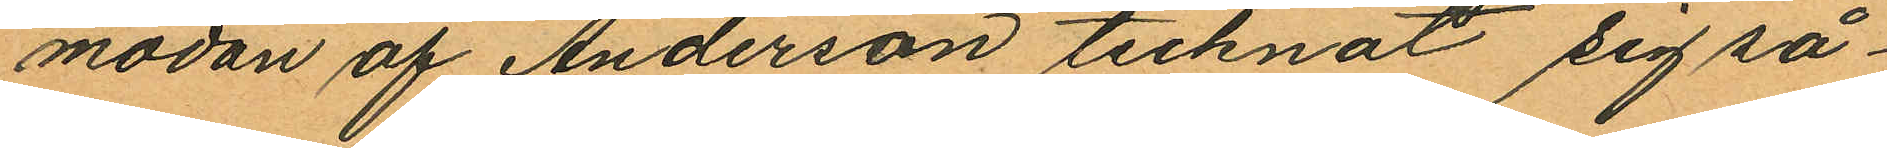modan af Anderson tecknat sig så¬
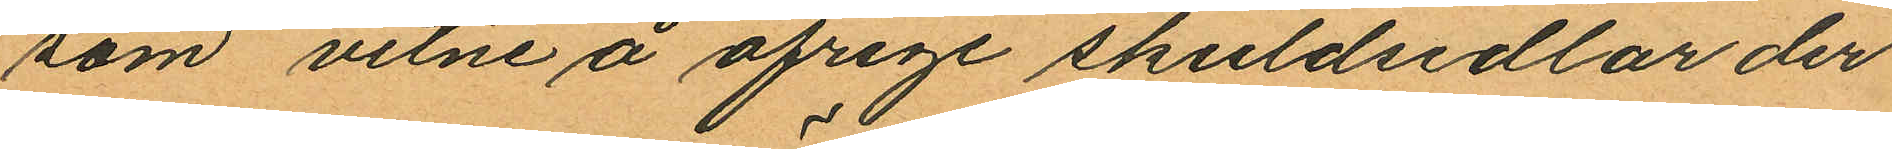som vitne å öfrige skuldsedlar der
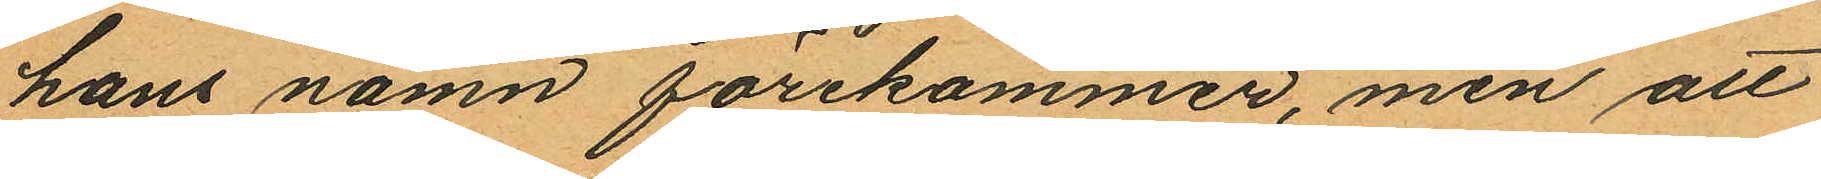hans namn förekommer, men att
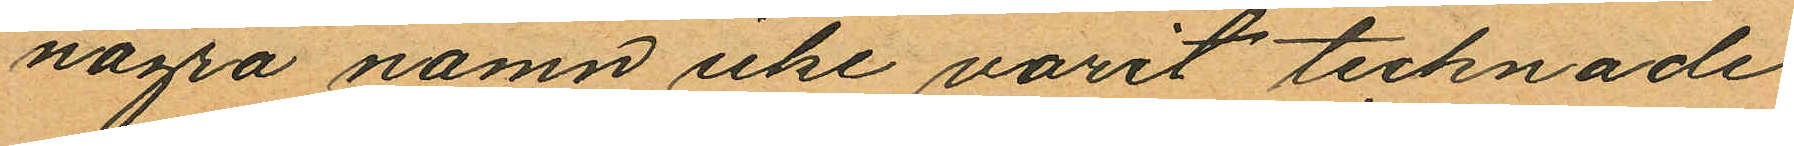några namn icke varit tecknade
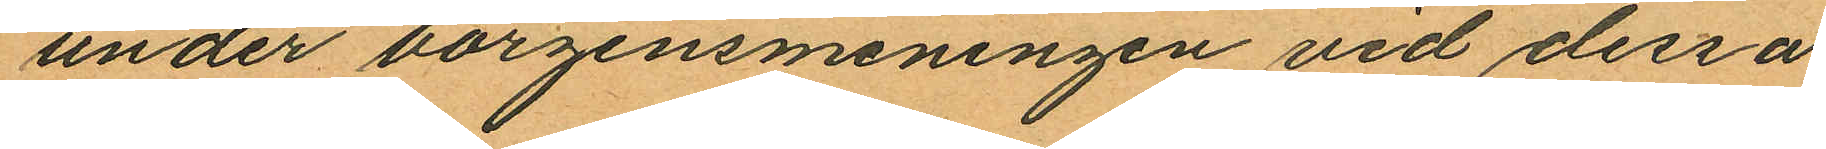under borgensmeningen vid dessa
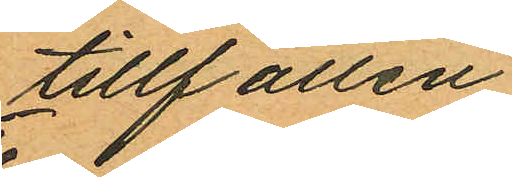tillfällen
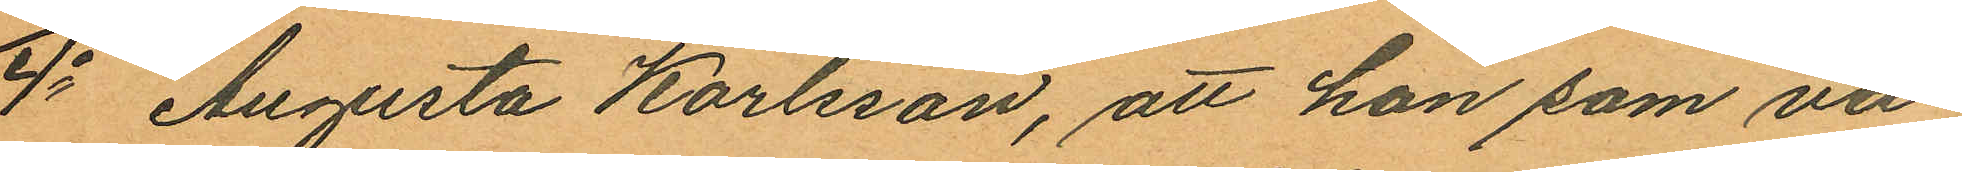4o Augusta Karlsson, att hon som var¬
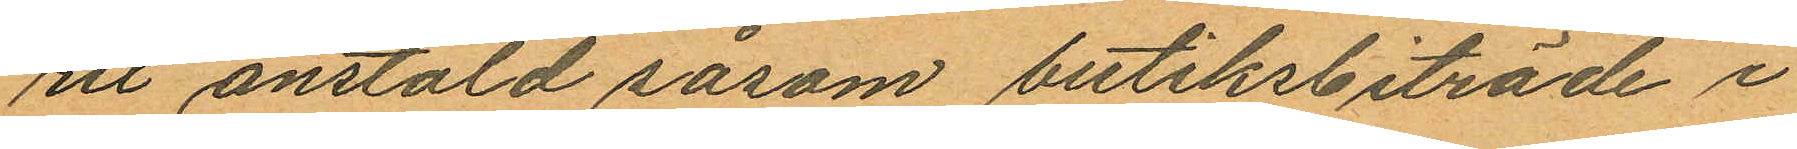rit anstäld såsom butiksbiträde i
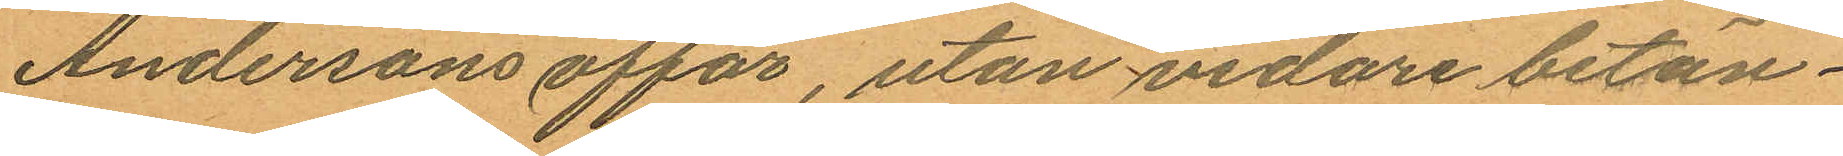Andersons affär, utan vidare betän¬
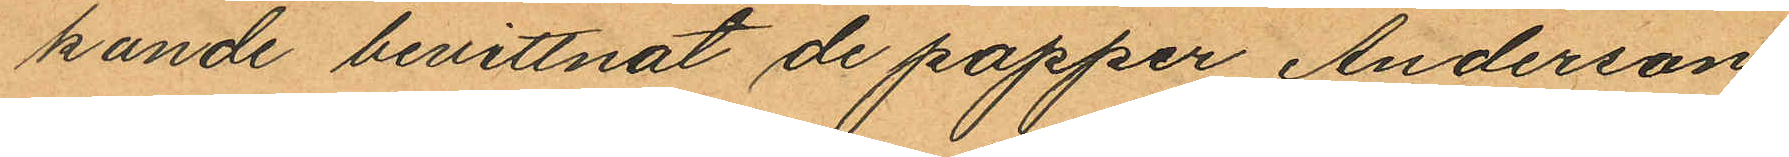kunde bevittnat de papper Anderson
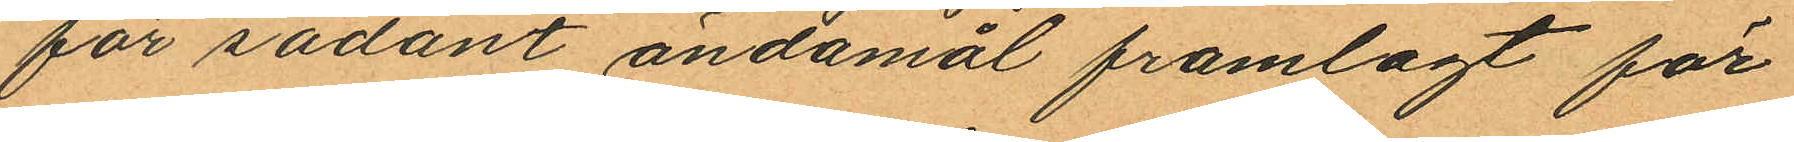för sådant ändamål framlagt för
